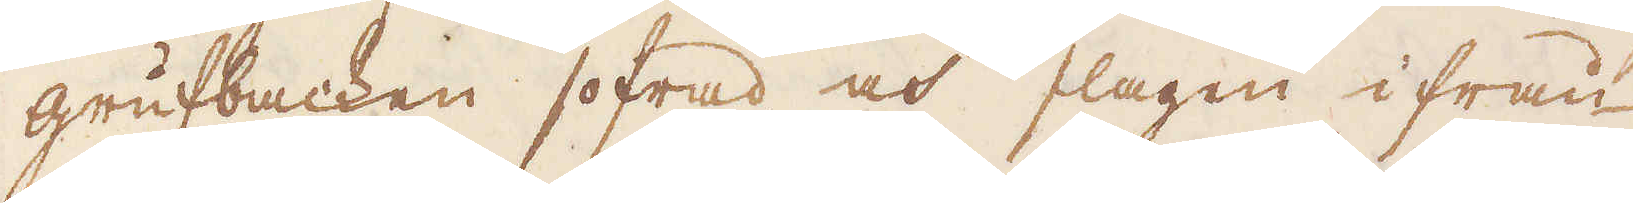grufbacken sofrad och slagen ifrån
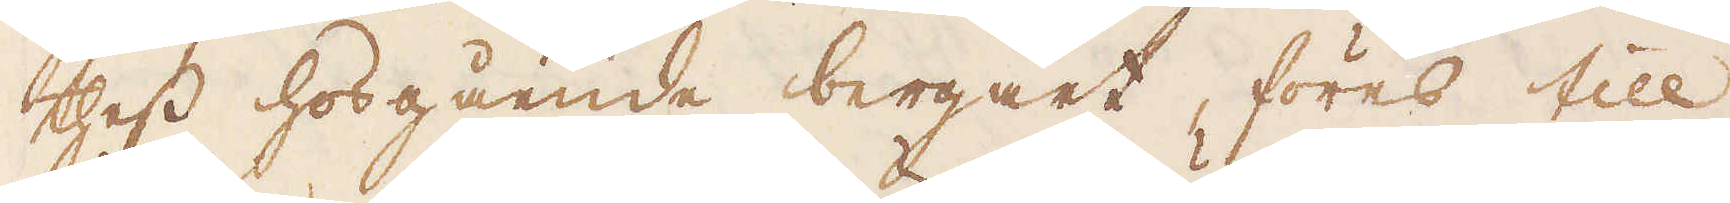thess hosgående bergart, föres till
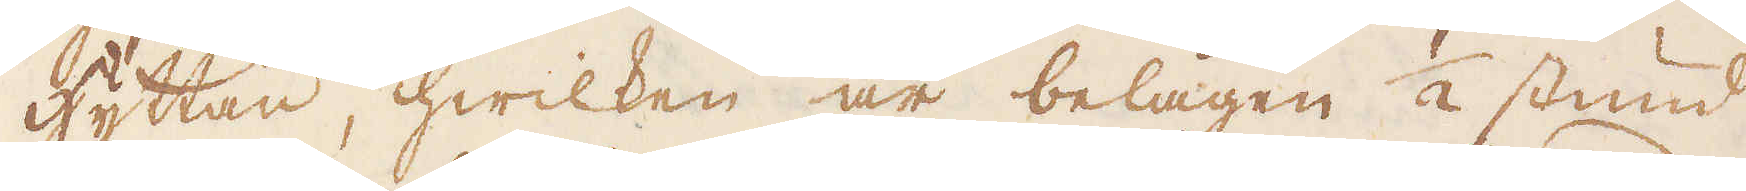hyttan, hwilken är belägen 1/2 stund
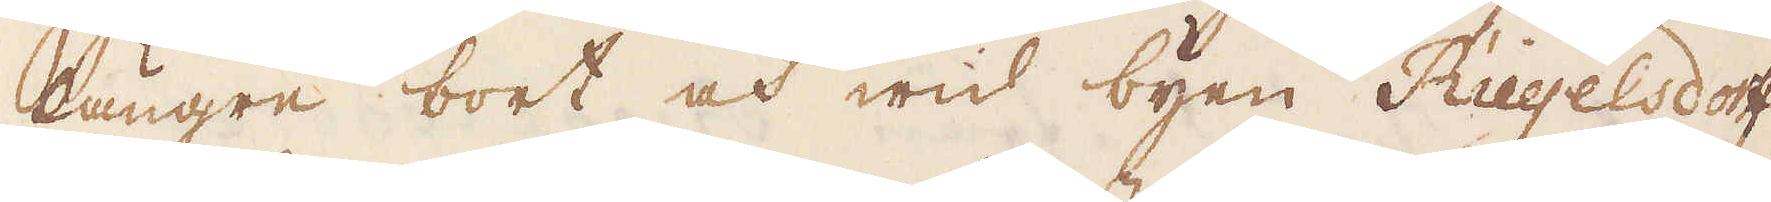längre bort och wid byen Riegelsdoff,
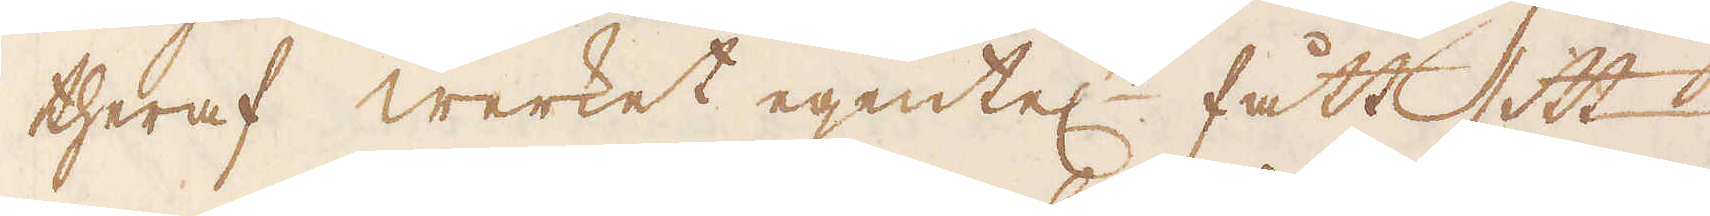theraf werket egentel:n fått sitt
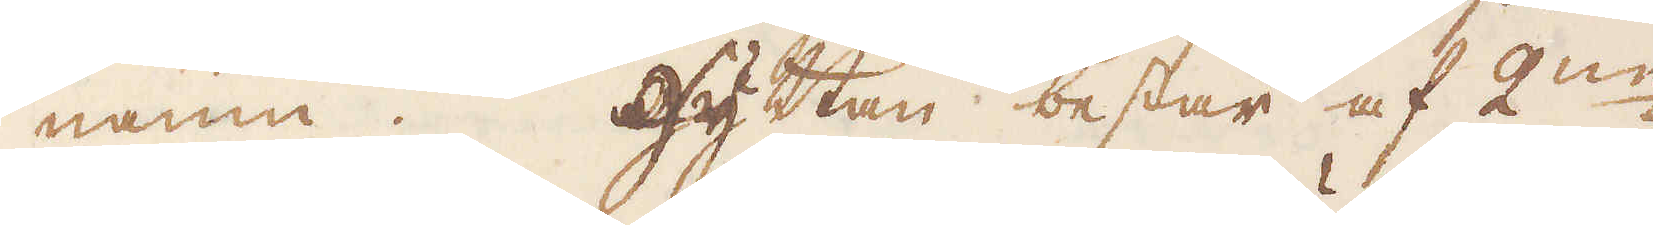namn. Hyttan består af 2:ne
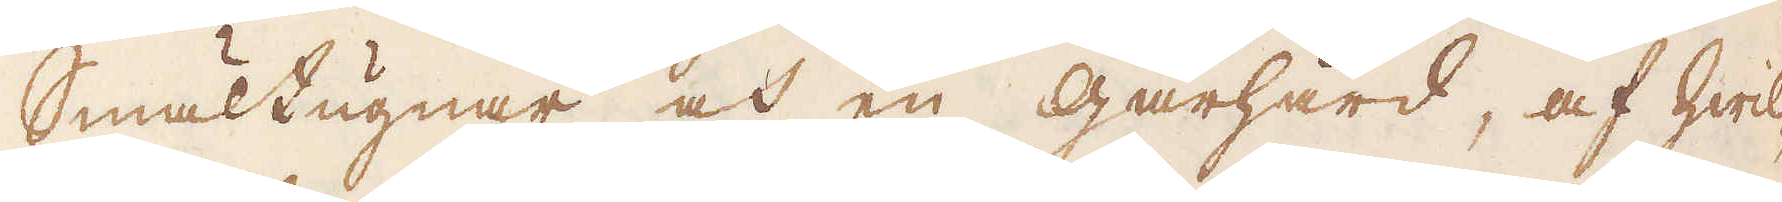Smältugnar och en gårhärd, af hwil-
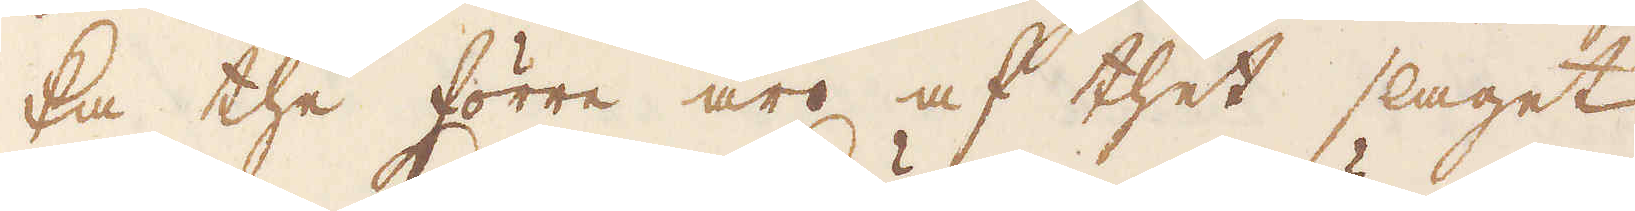ka the förre äro af thet slaget
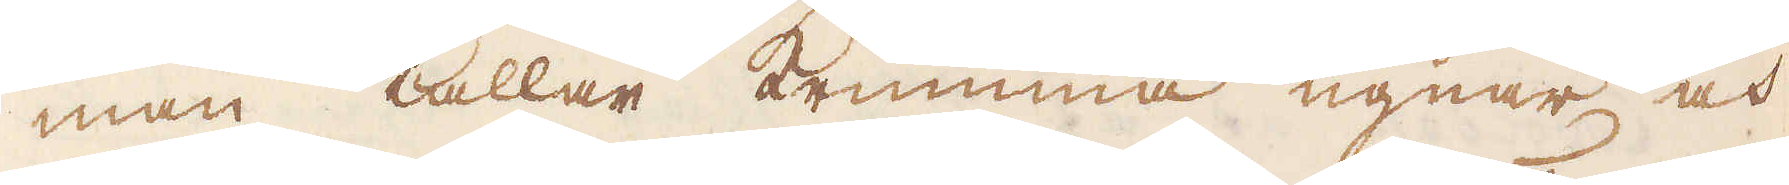man kallar Krumma ugnar och
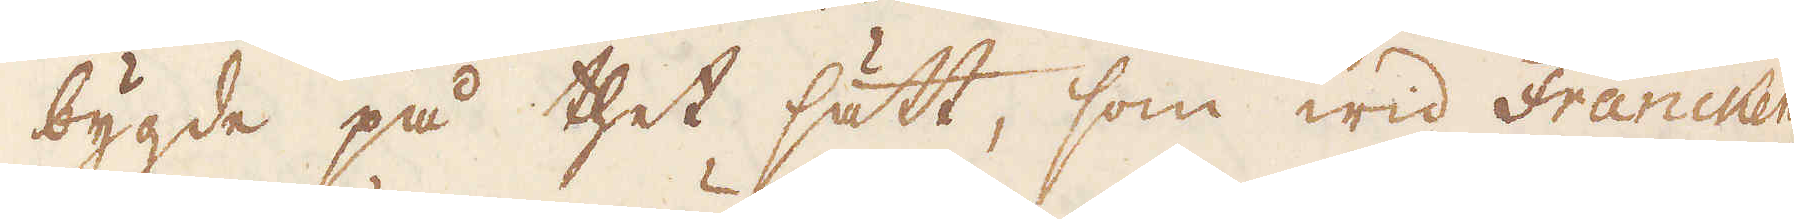bygde på thet sätt, som wid Francken-
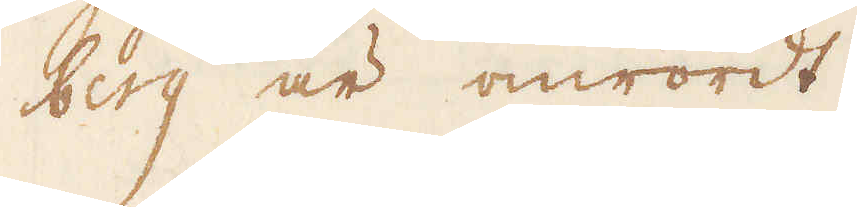berg är omrördt.
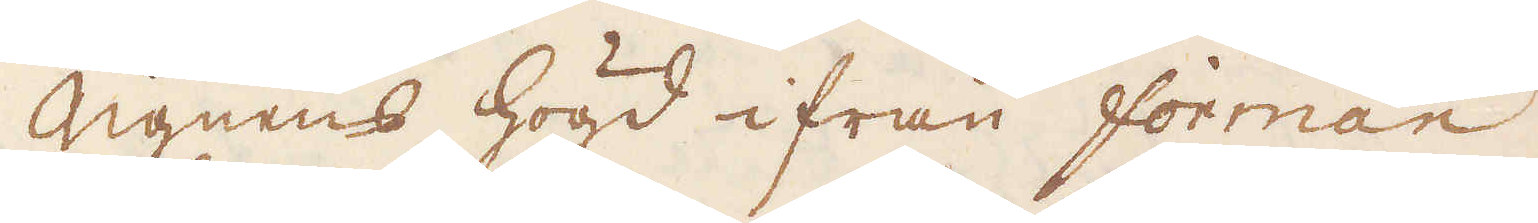Ugnens högd ifrån forman
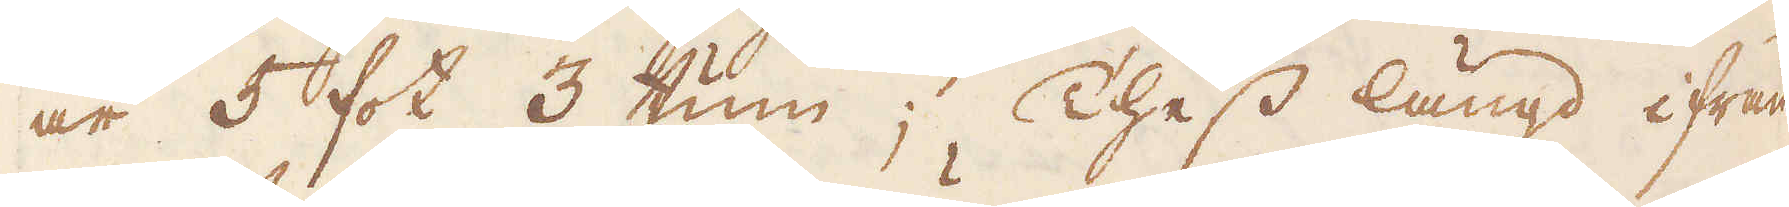är 5 fot 3 tum; Thess längd ifrån
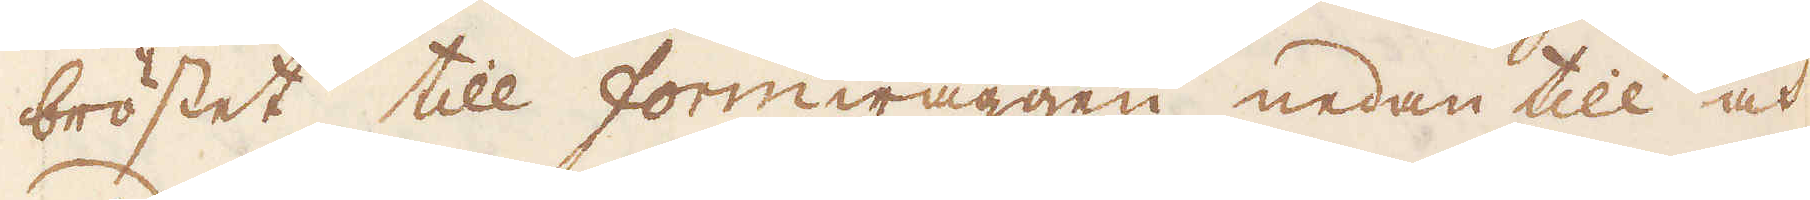bröstet till Formwäggen nedan till och
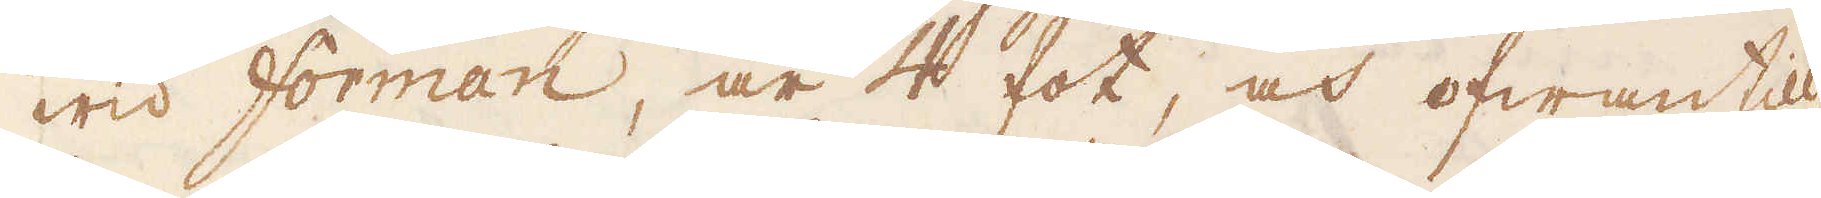wid Forman, är 4 fot, och ofwantill
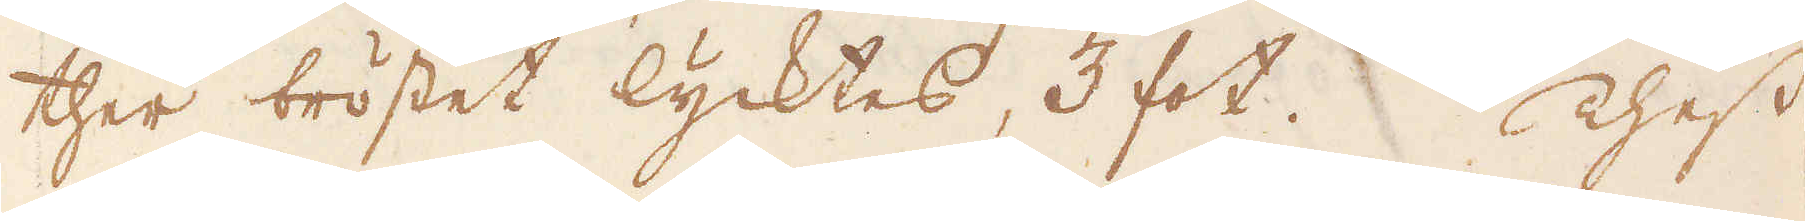ther bröstet lycktes, 3 fot. Thess
